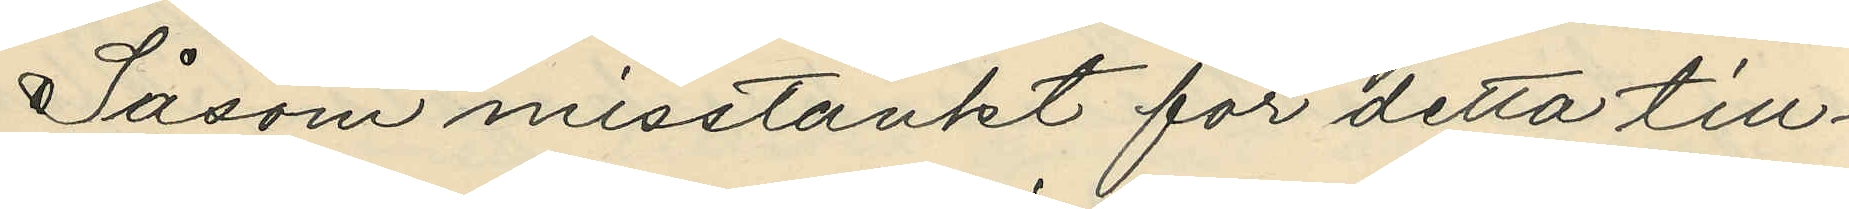Såsom misstänkt för detta till¬
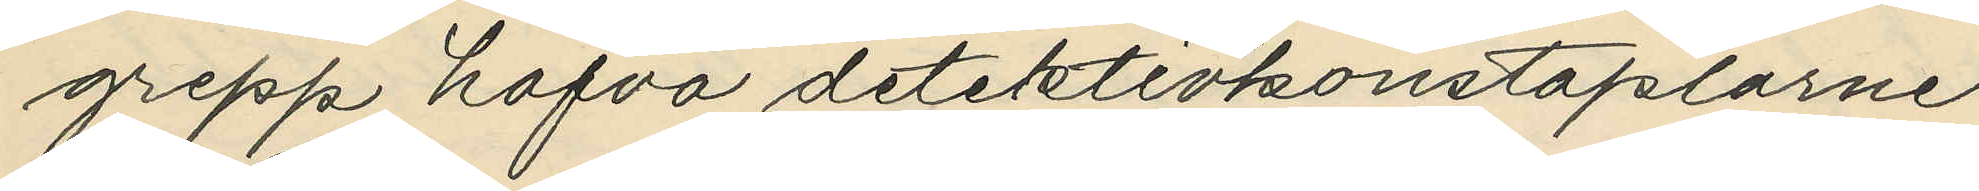grepp hafva detektivkonstaplarne
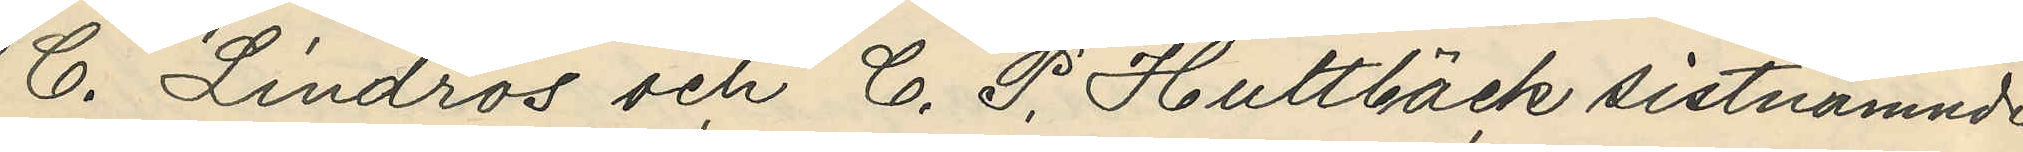C. Lindros och C. P. Hultbäck sistnämnde
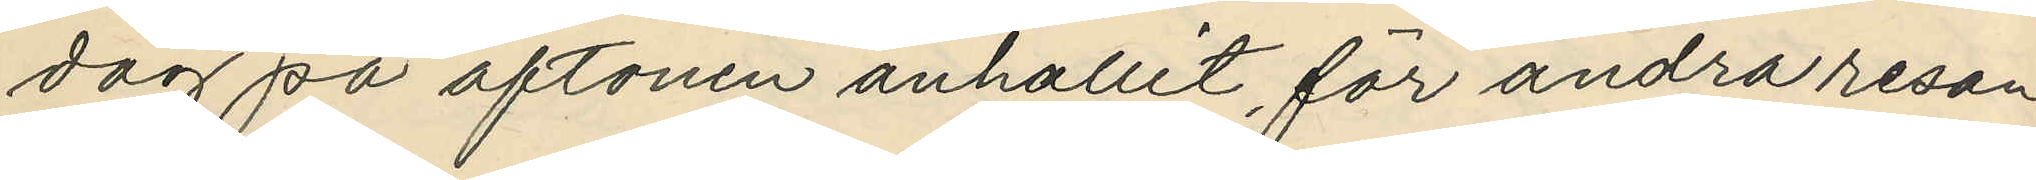dag på aftonen anhållit för andra resan
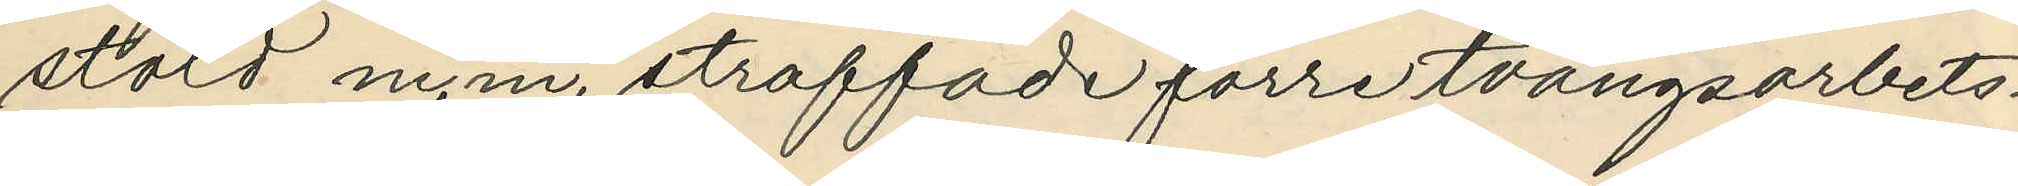stöld m.m. straffade förre tvångsarbets¬
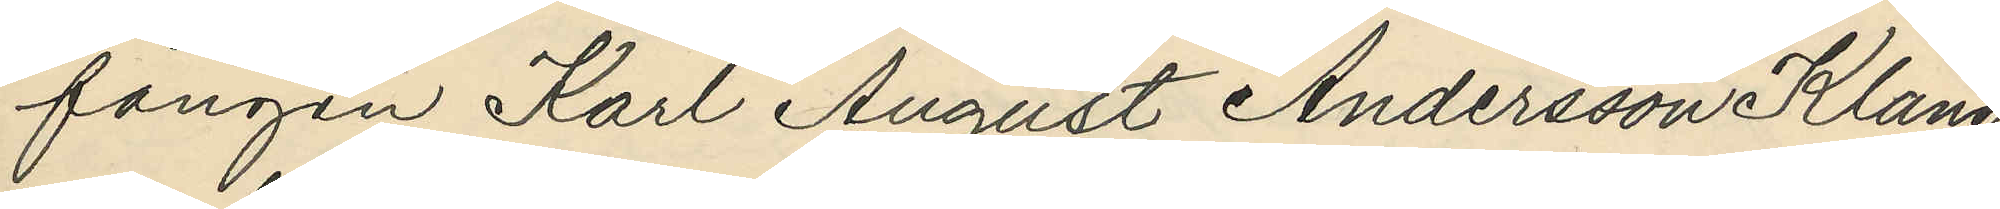fången Karl August Andersson Klang
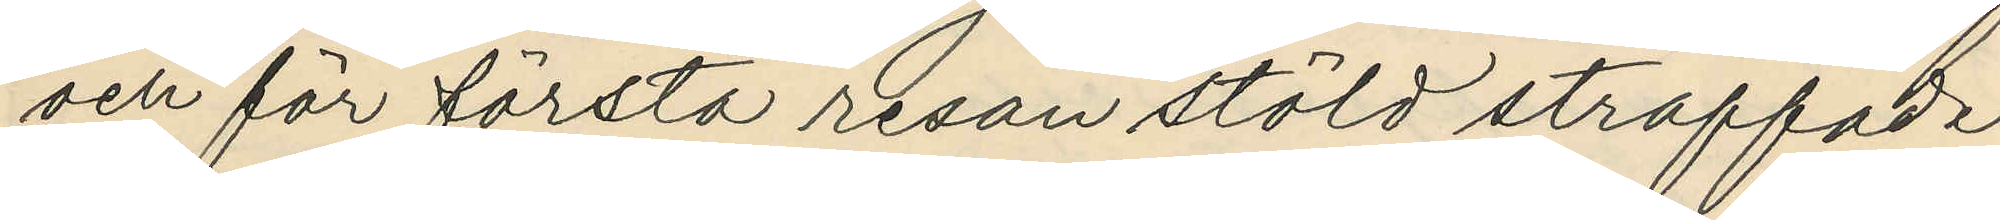och för första resan stöld straffade
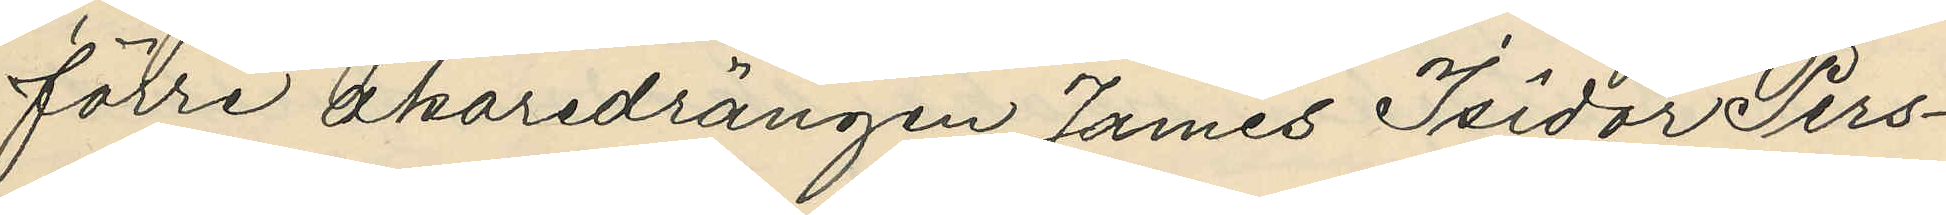förre åkaredrängen James Isidor Pers¬
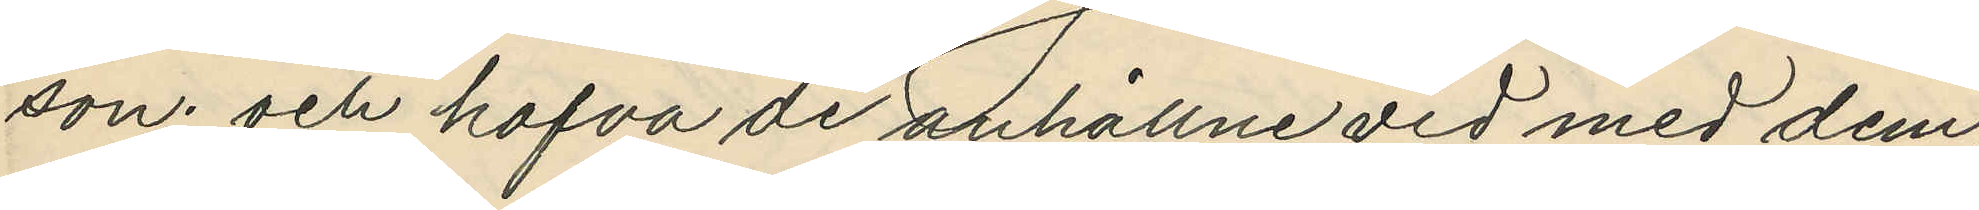son; och hafva de anhållne vid med dem,
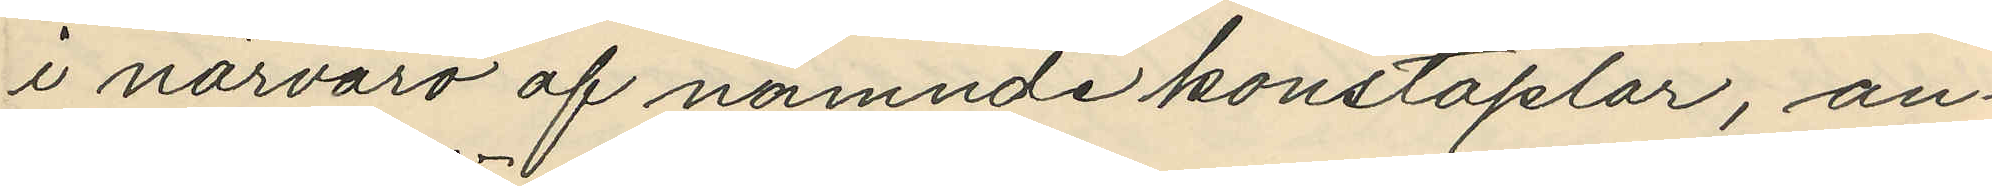i närvaro af nämnde konstaplar, an¬
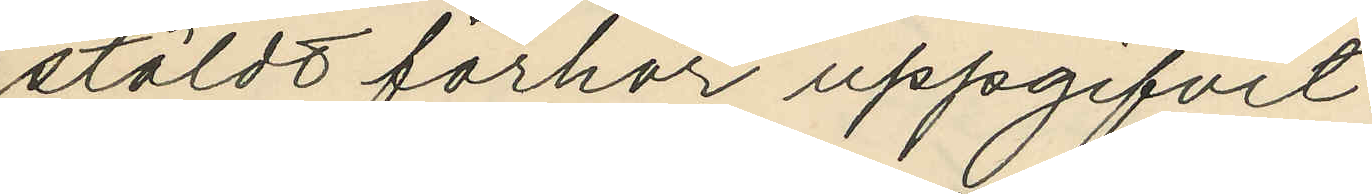stäldt förhör uppgifvit:
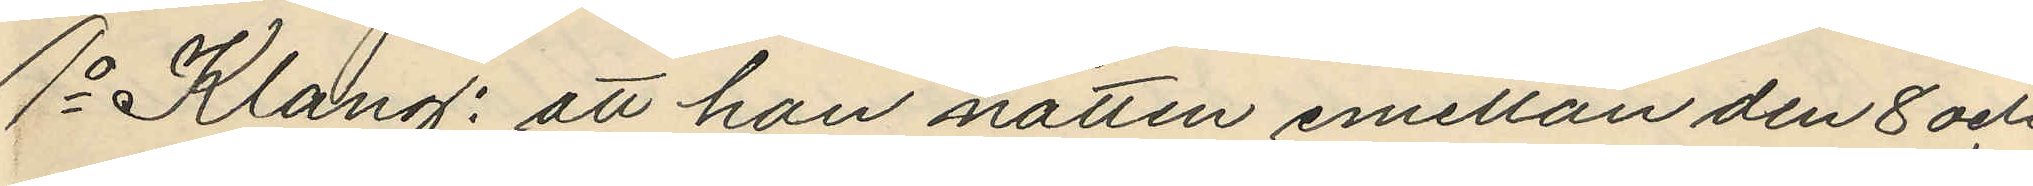1o Klang: att han natten emellan den 8 och
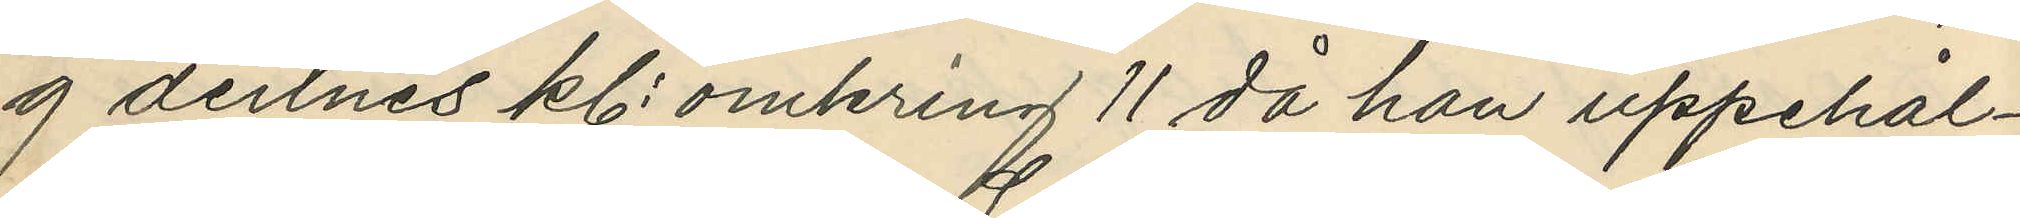9 dennes kl. omkring 11 då han uppehål¬
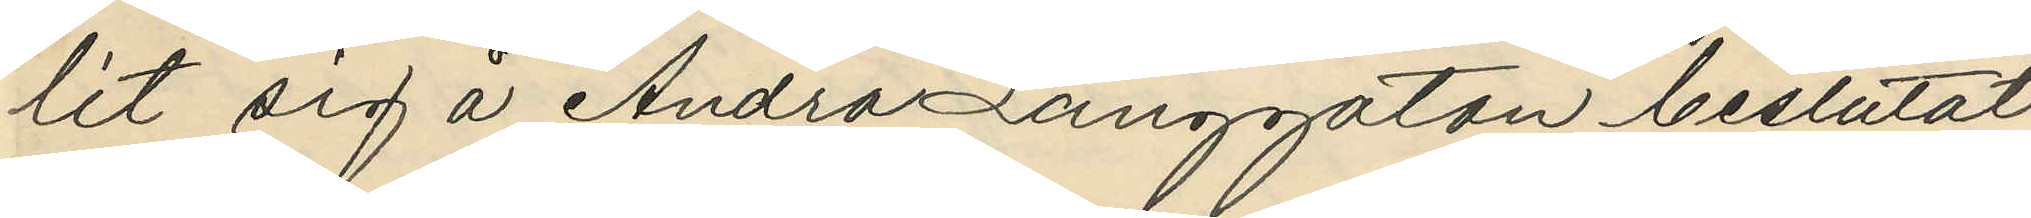lit sig å Andra Långgatan beslutat
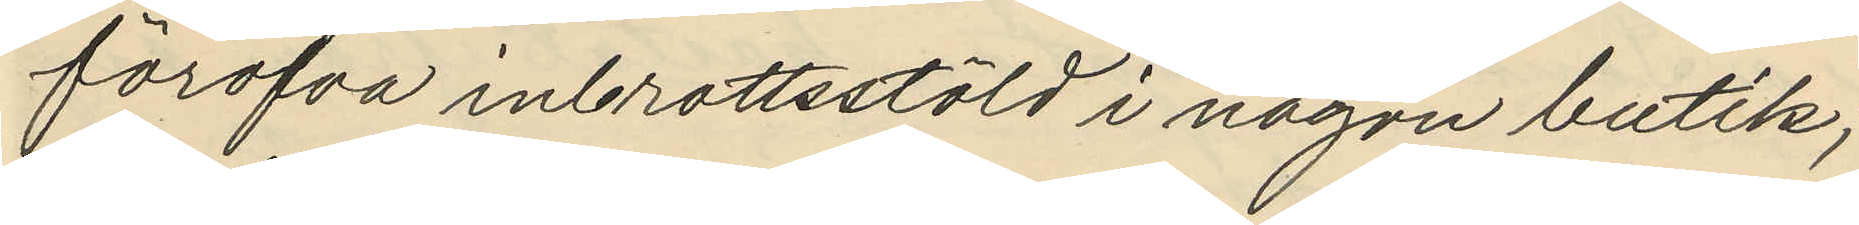föröfva inbrottsstöld i någon butik;
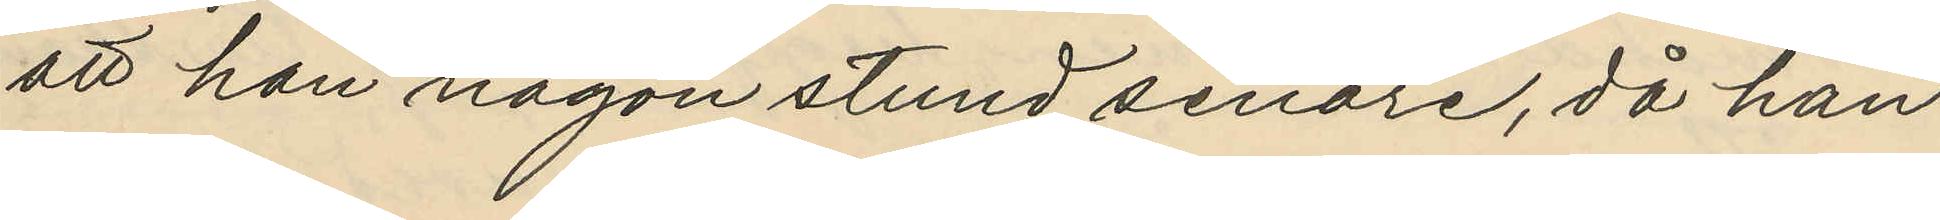att han någon stund senare, då han
